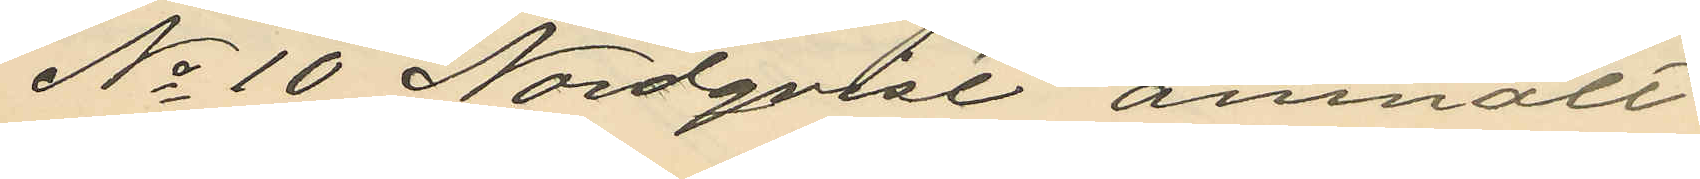No 10 Nordqvist anmält
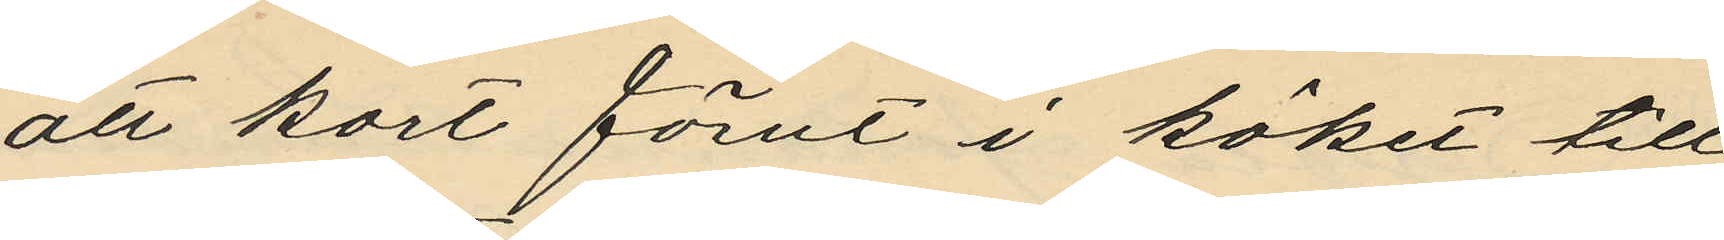att kort förut i köket till
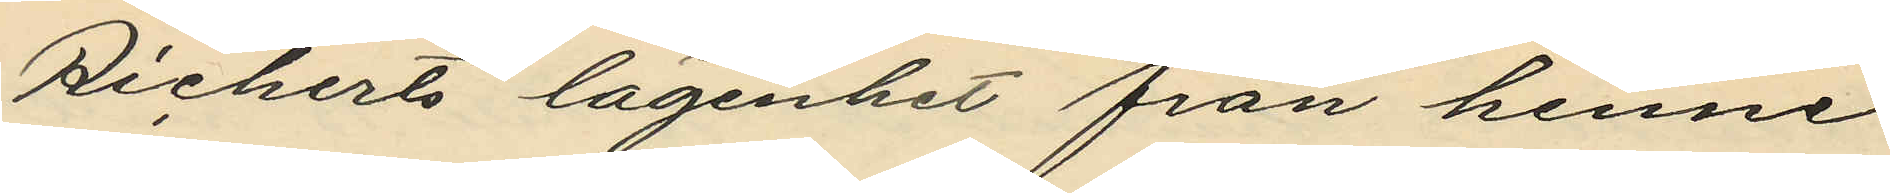Richerts lägenhet från henne
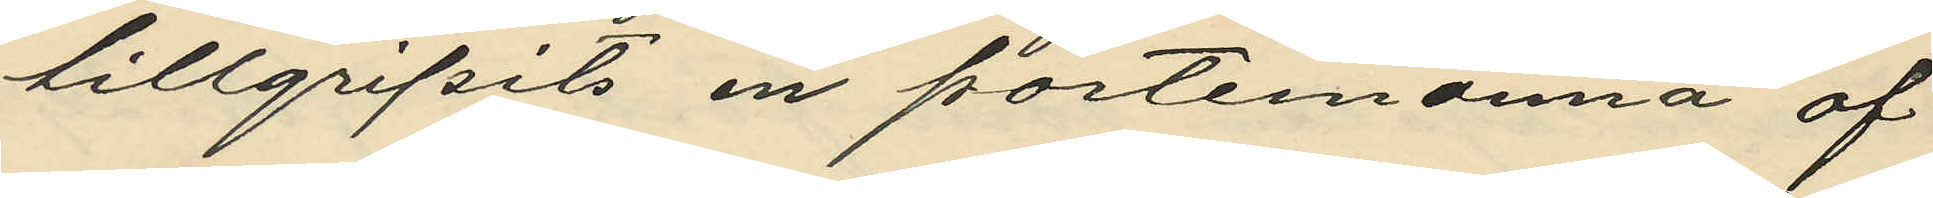tillgripits en portemonnä af
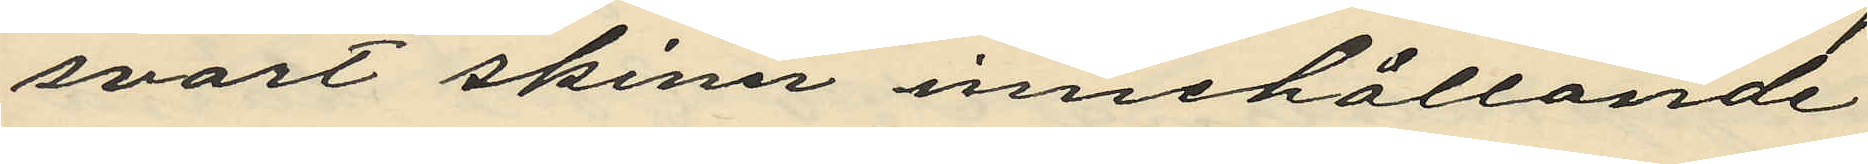svart skinn innehållande
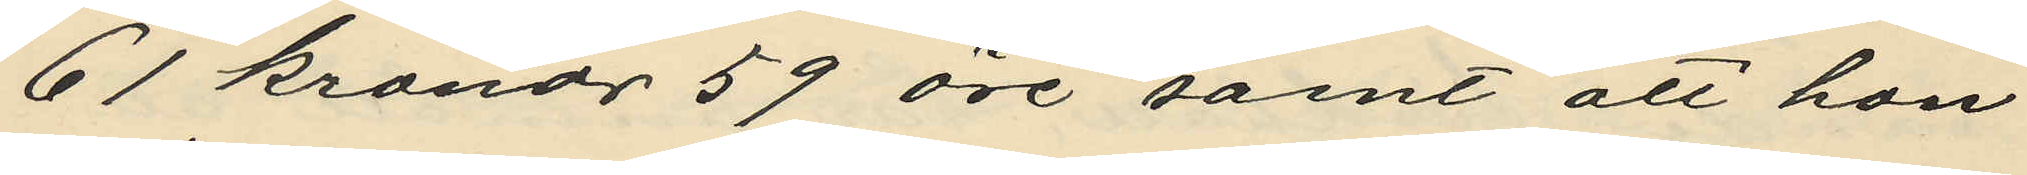61 kronor 59 öre samt att hon
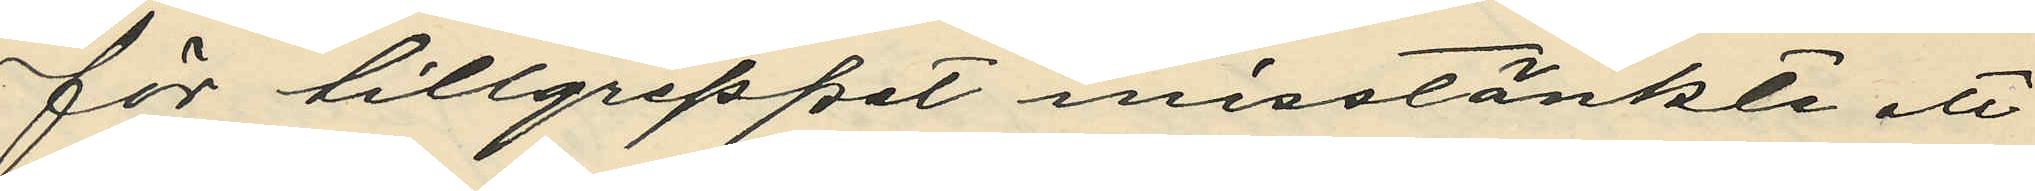för tillgreppet misstänkte att
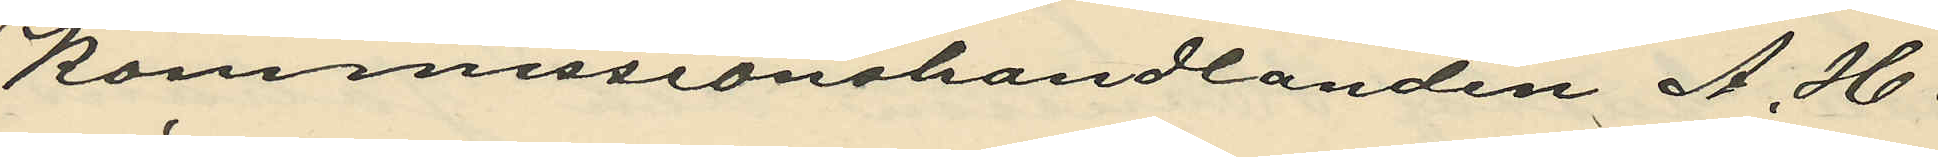Kommissionshandlanden A. H. 
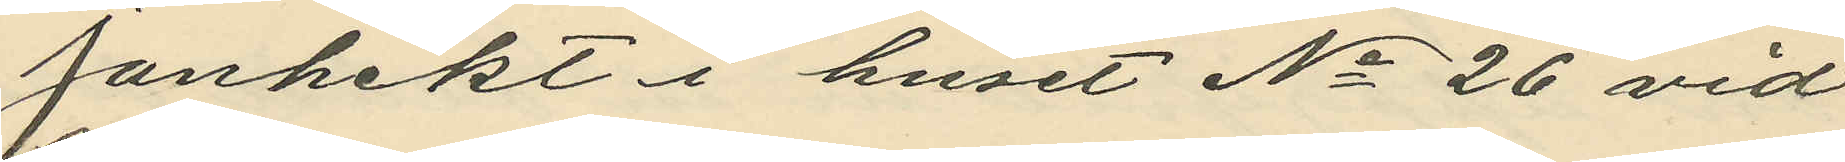Janhekt i huset No 26 vid
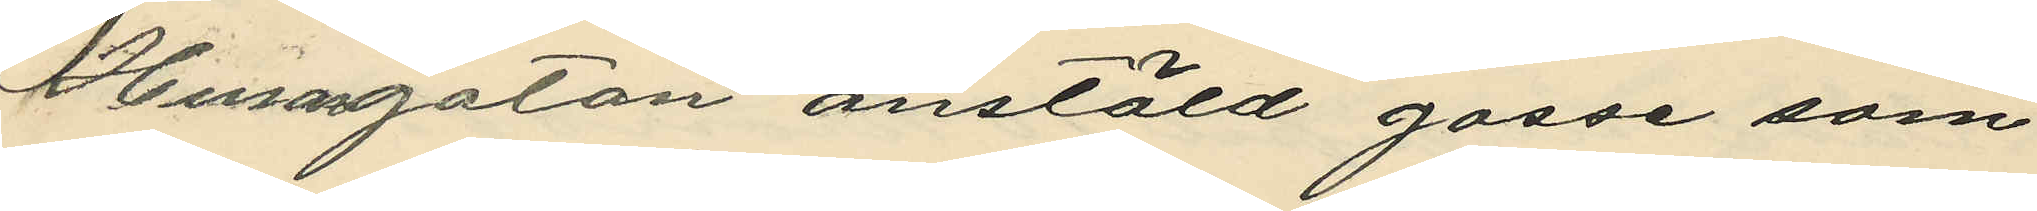Husargatan anstäld gosse som
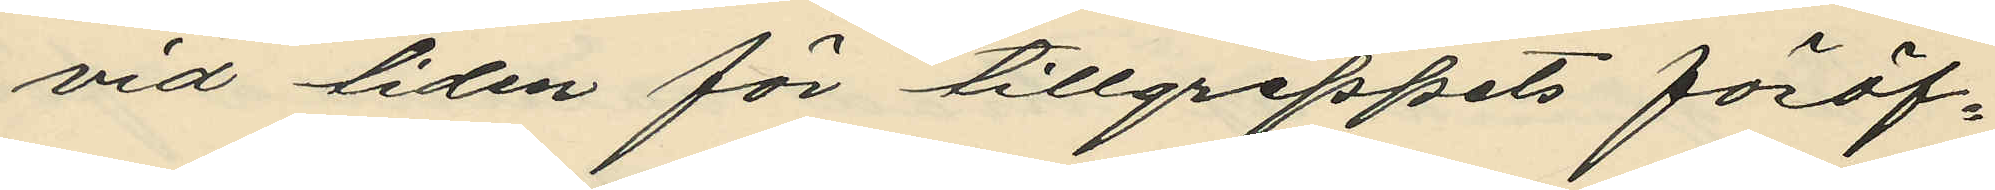vid tiden för tillgreppets föröf¬
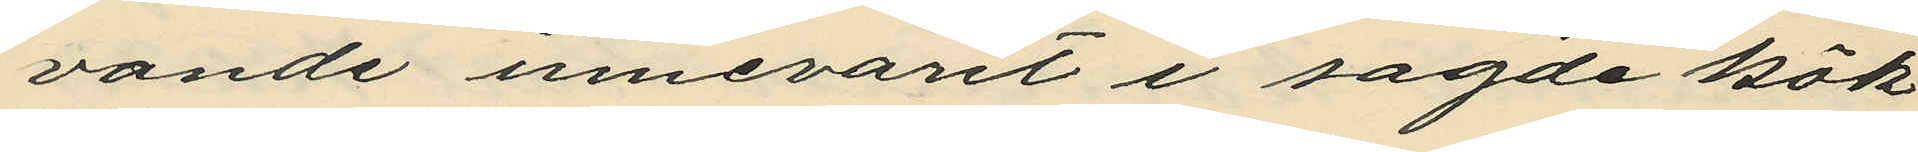vande innevarit i sagde kök
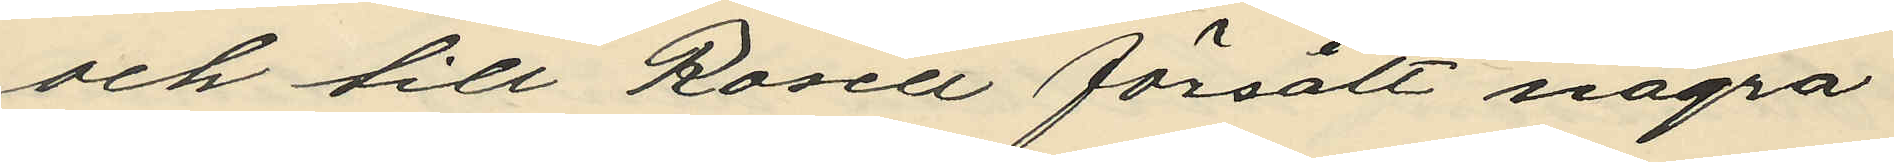och till Rosell försålt några
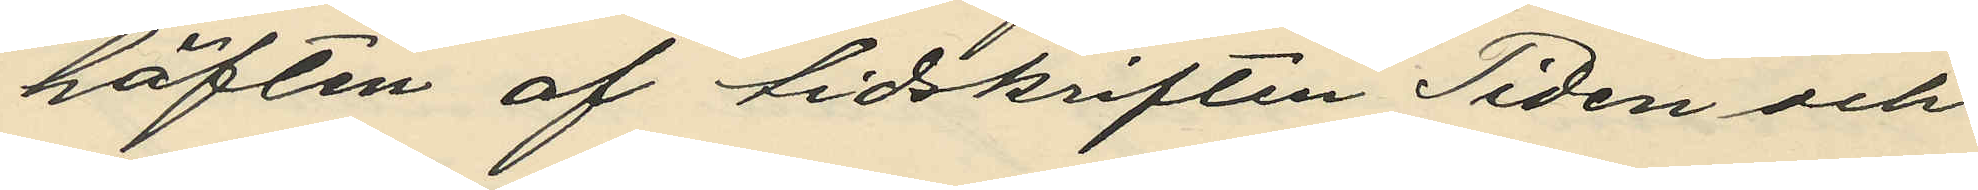häften af tidskriften Tiden och
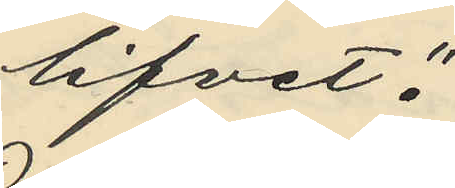lifvet".
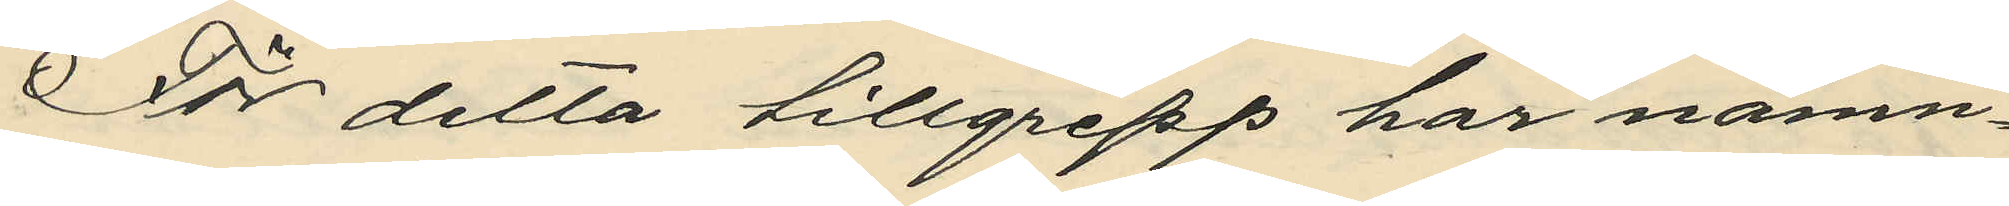För detta tillgrepp har nämn¬
